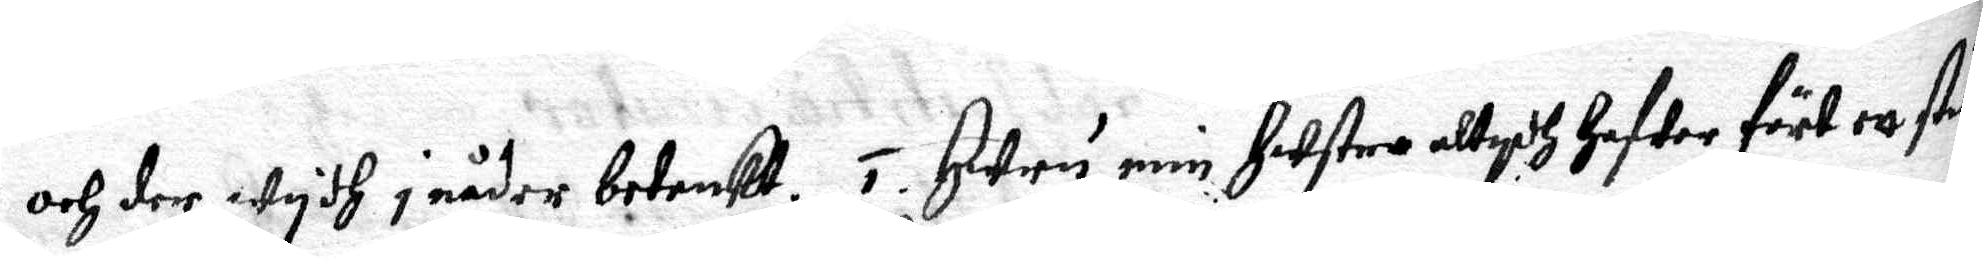och der wydh i nåder betenkt. 1. Huru min hustro altydh hafwer fört ett stilla
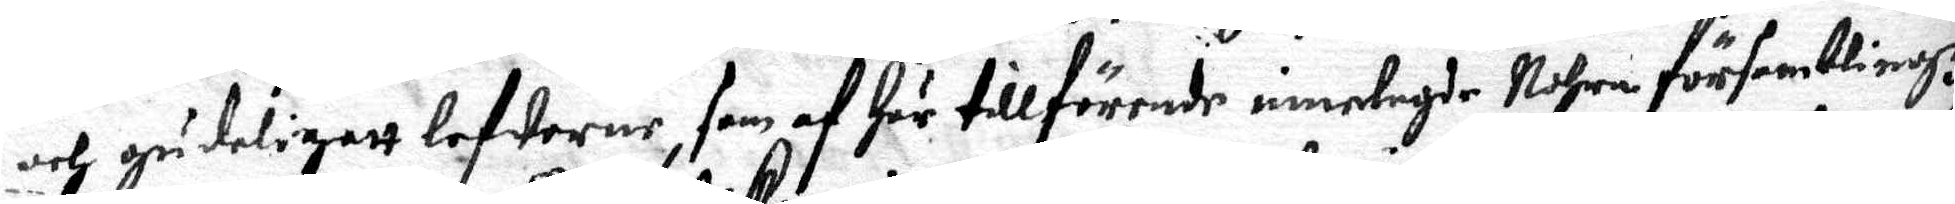och gudeligett lefwerne, som af här tillförende innelagde Nohra försaamlingz
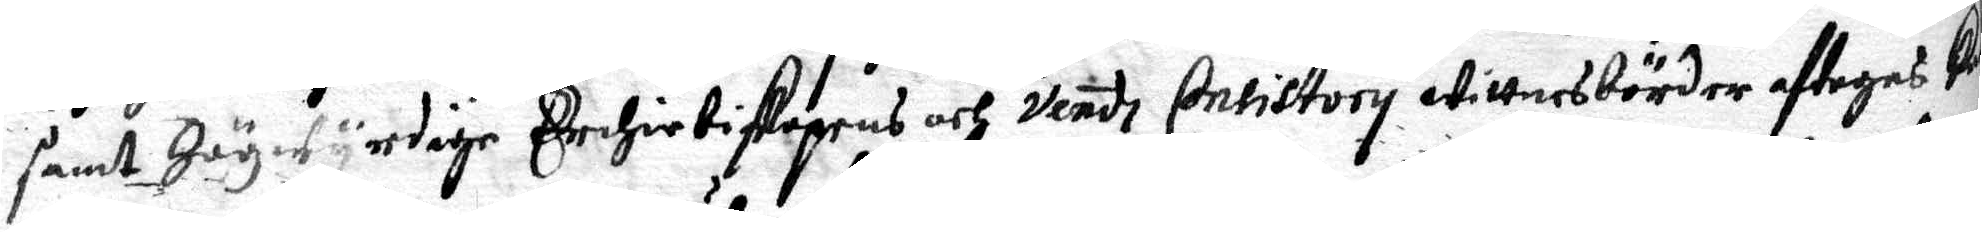samt Högwyrdige Erchiebiskopens och vendz Consistory wittnebörder aftagas K..
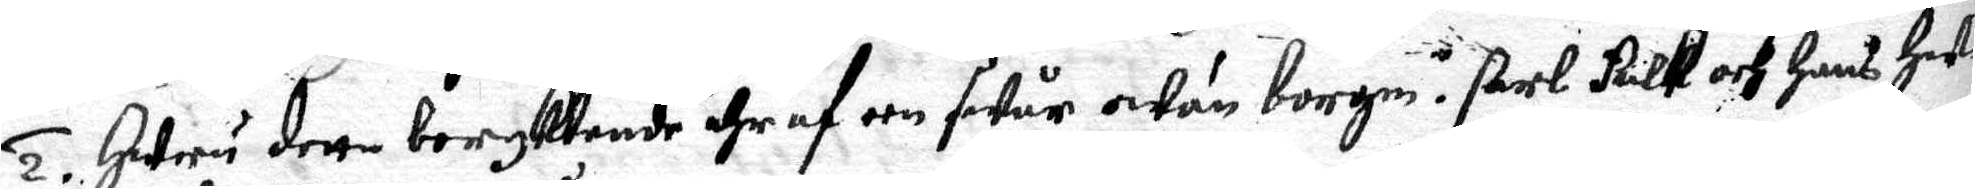2. Huru detta beryktande ähr af een swår owän borgm. Carl Falk och hans hustro
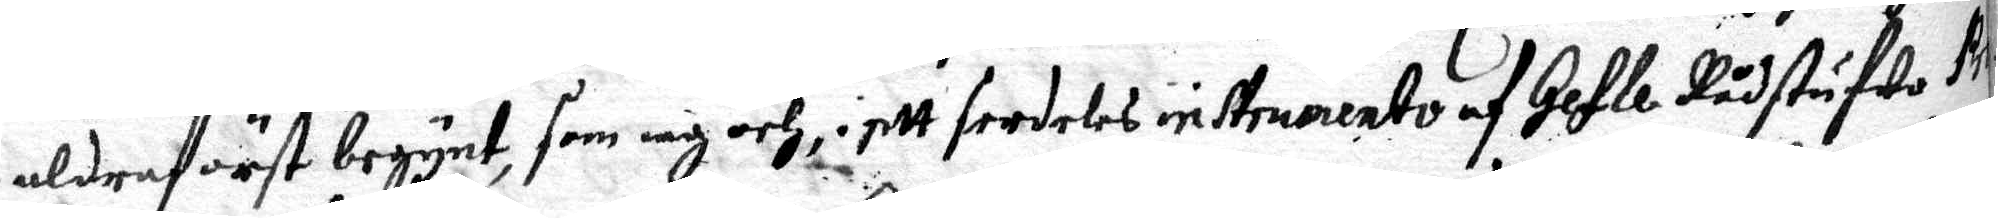aldre först begynt, som iag och, i ett serdeles instrumento af Gefle Rådstufwu Pr¬
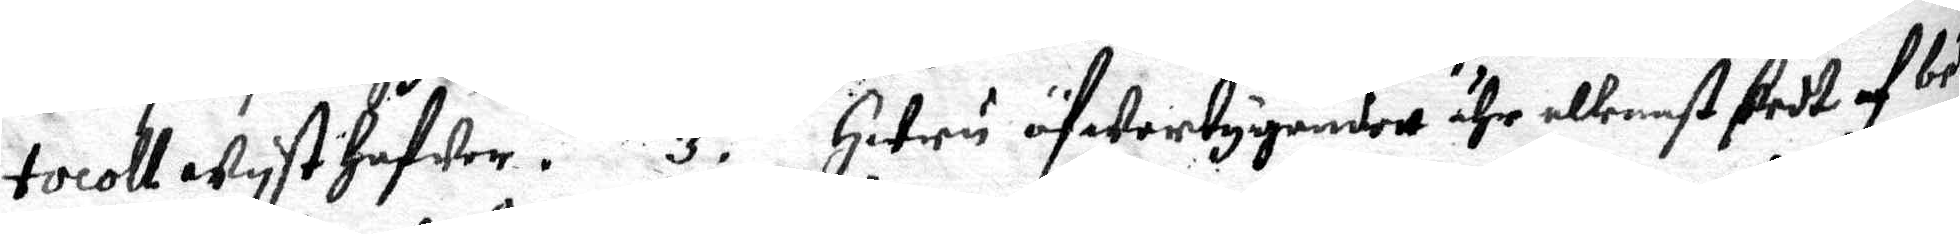tocoll wyst hafwer. 3. Huru öfwertygandett ähr allenast skedt af be.te
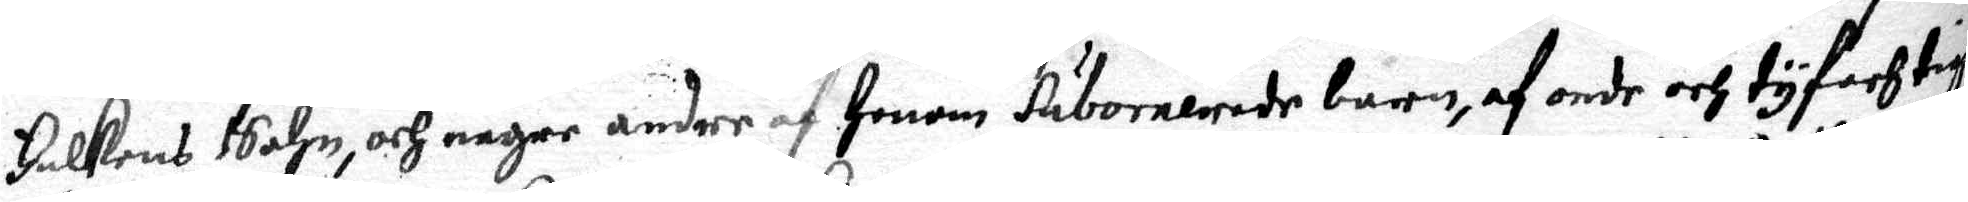Falkens Sohn, och någre andre af honom tubornerade barn, af onde och tyfachtige
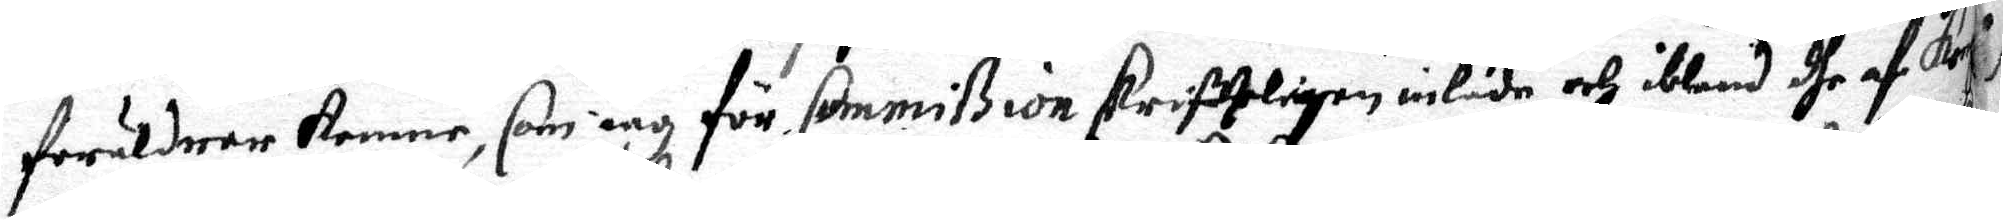föräldrar komne, som iag för Commißion skriffteligen inlade och ibland dhe af ...¬
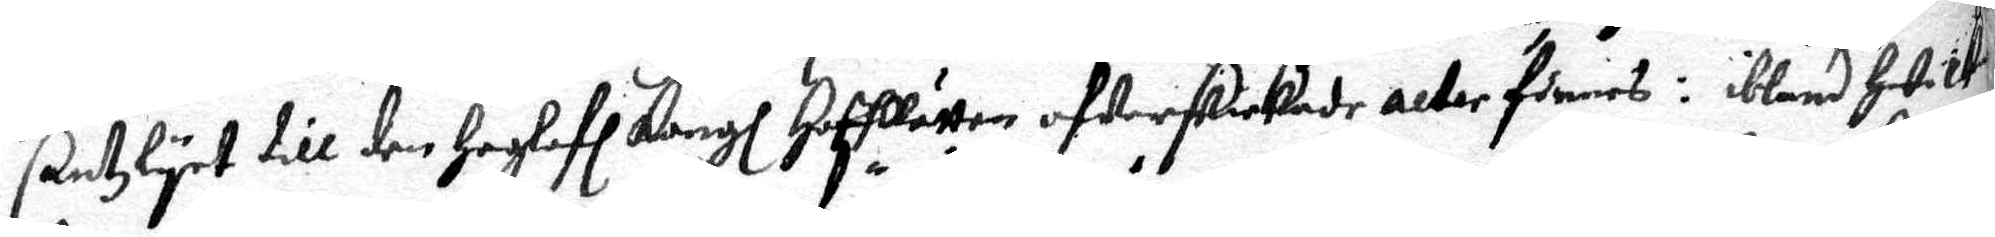Cantzlyet till den Höglofl. Kongl. HoffRätten ofwerskickade acter finnes:  ibland Hu..
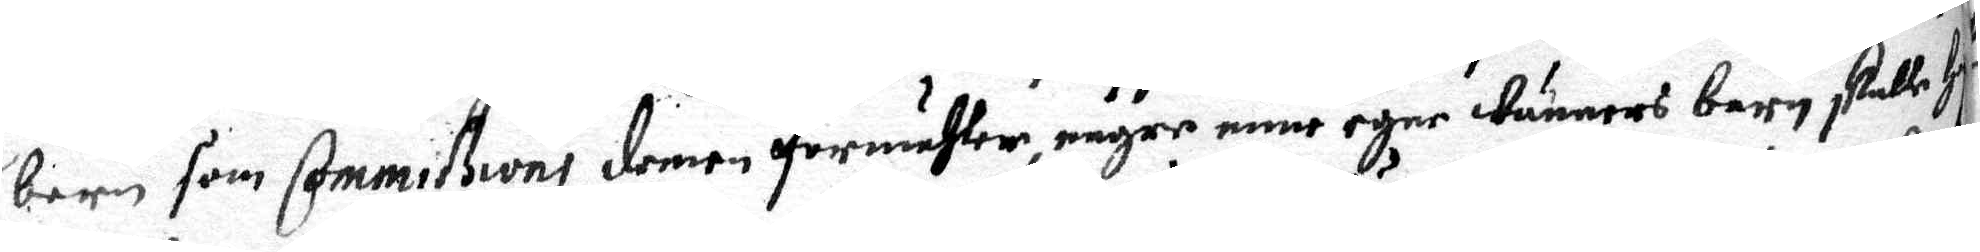barn som Commißions domen förmähler, någre mine egne wänners barn skalla ha¬
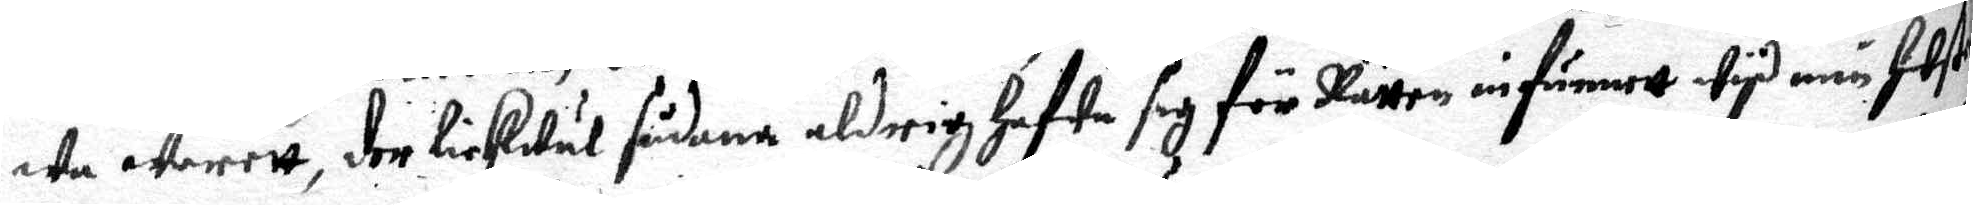wa warett, der lickwäl sådana aldrig hafwa sig för Rätten infunnett Wud min hustros
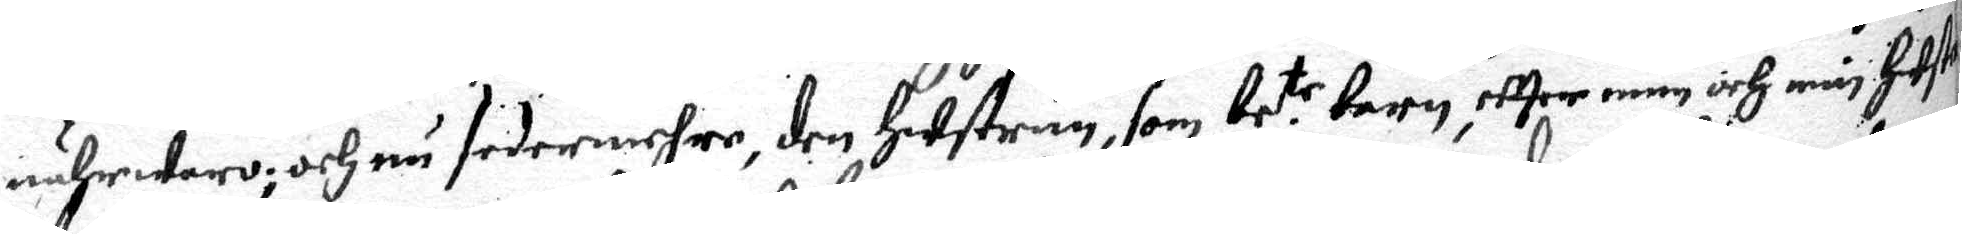nährwaro, och nu sedermehre, den hustrun, som be:te barn, effter min och min hustrus
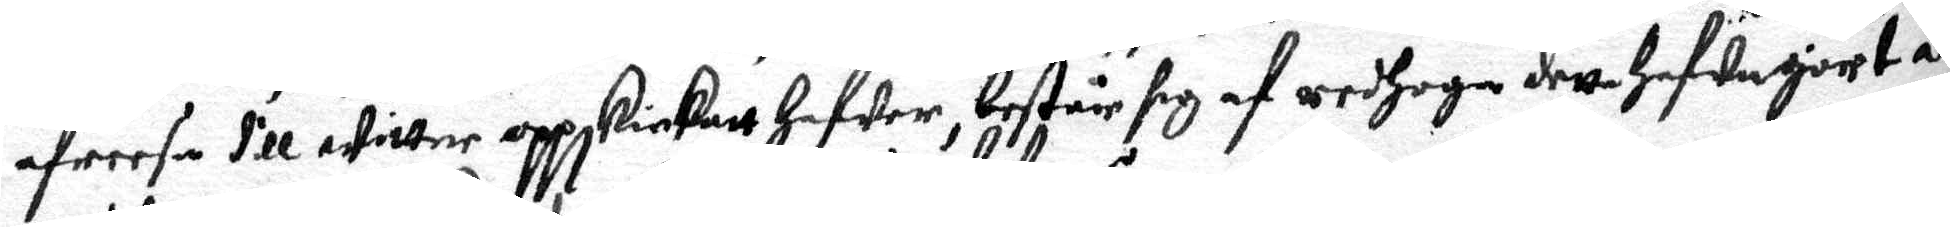afreesa til wittne oppskickatt hafwer, består sig af redhoga detta hafwa giort att
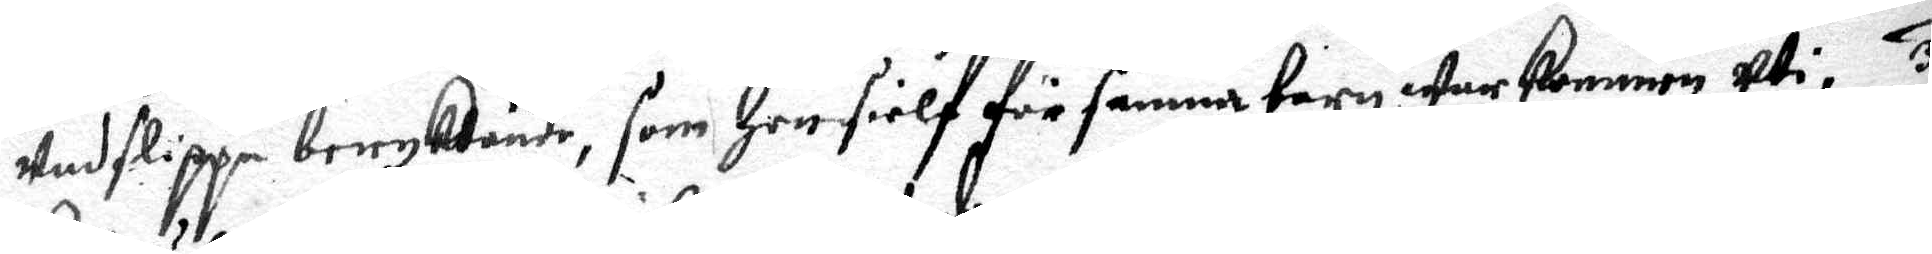Undslippe beryktande, som hon sielf för samma barn War kommen uti. 3
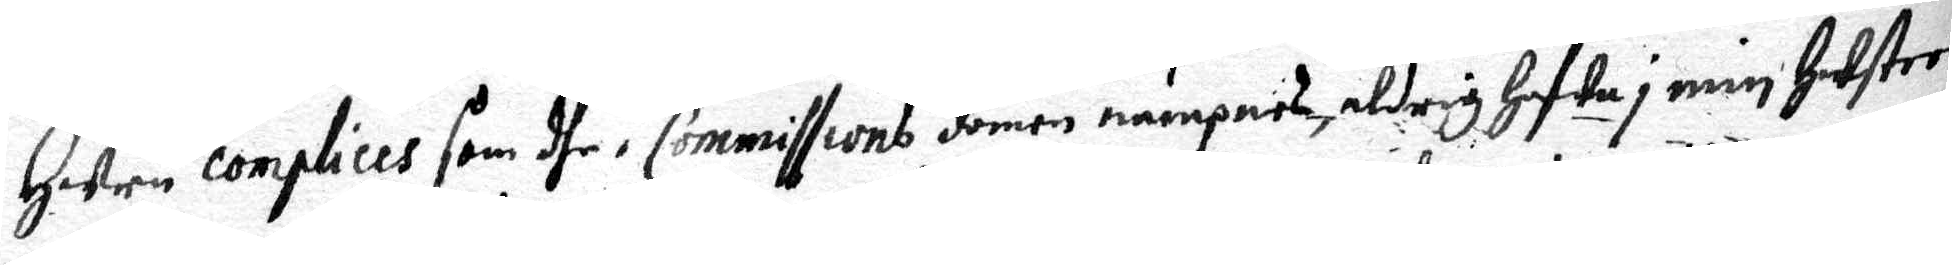huru Complices som dhe i Commissions domen nämpnes, adrig hafwa i min hustrus
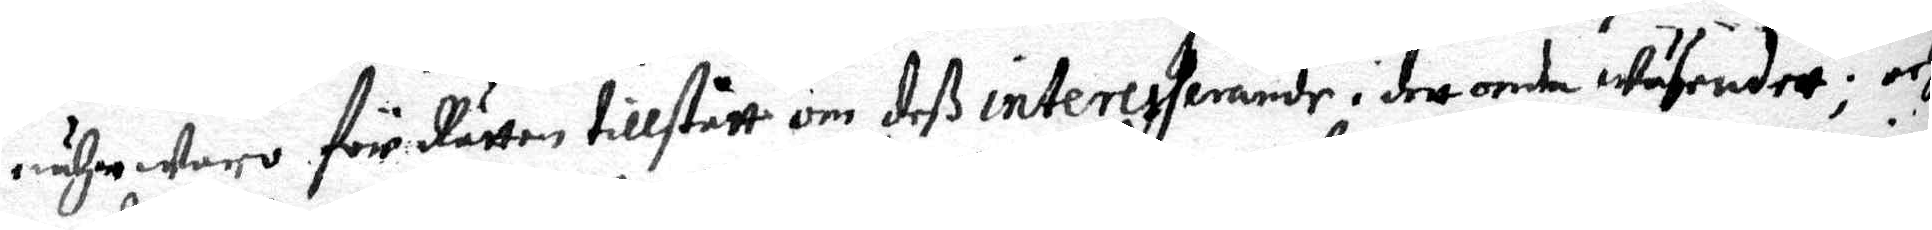nähr woro för Rätten tillstått om deß interesserande i dett onda wäsendett; och
